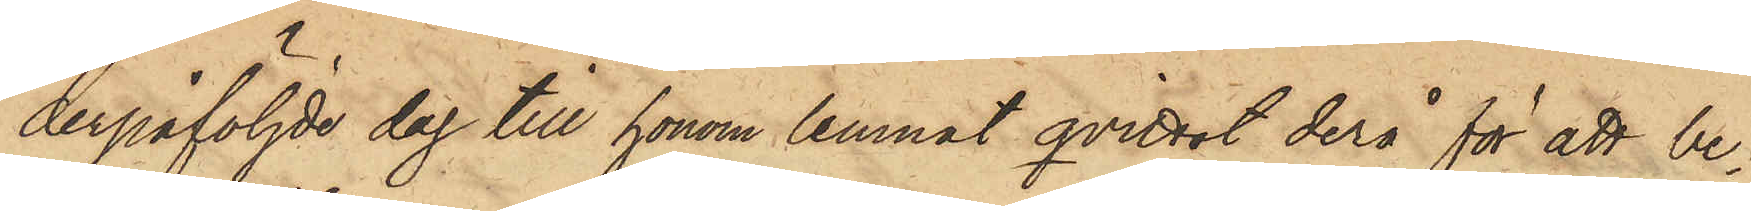derpåföljde dag till honom lemnat qvittot derå för att be¬
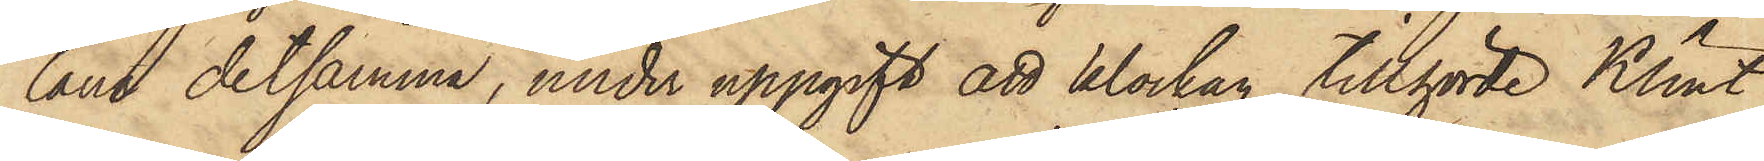låna detsamma, under uppgift att klockan tillhörde Klint,
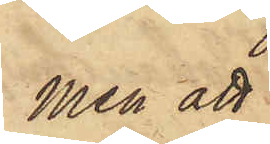men att
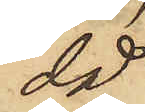då
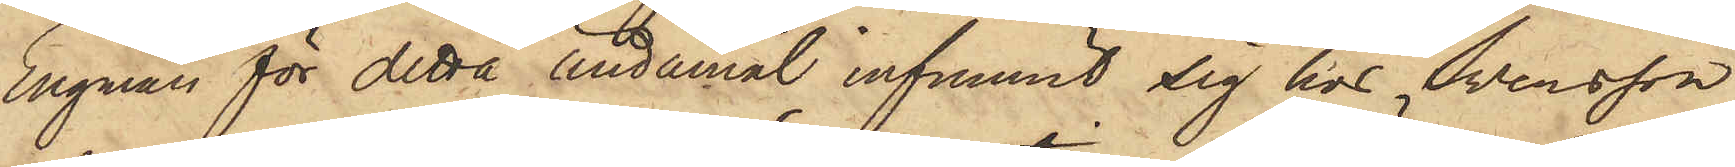Engman för detta ändamål infunnit sig hos Svensson,
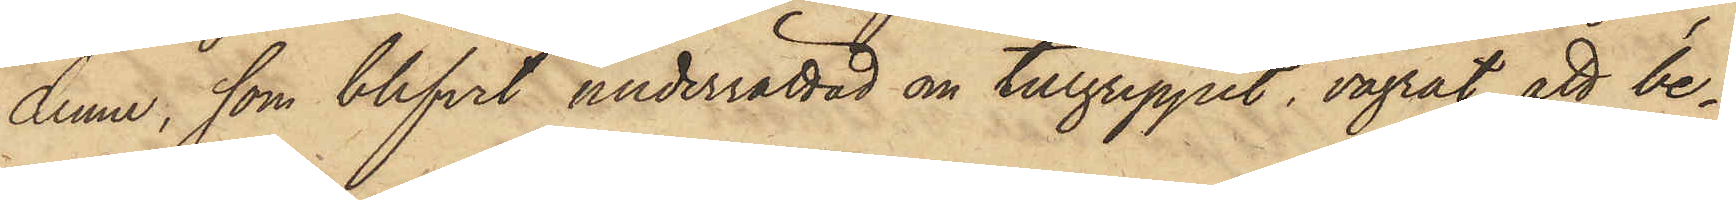denne, som blifvit underrättad om tillgreppet, vägrat att be¬
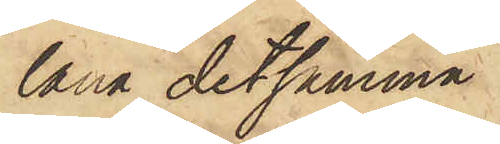låna detsamma.
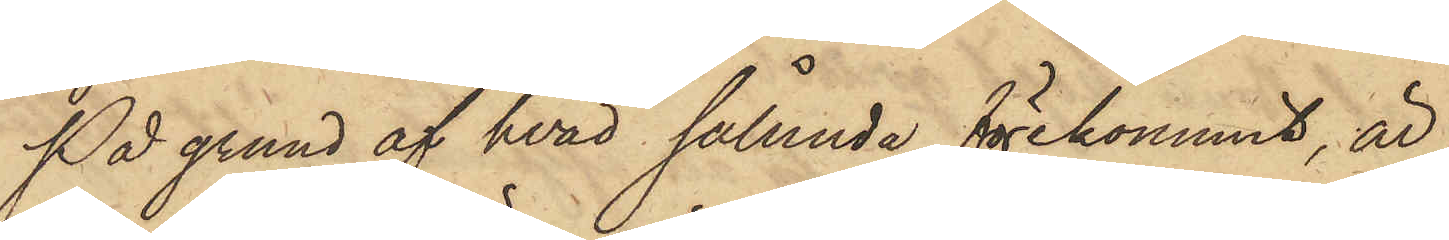På grund af hvad sålunda förekommit, är
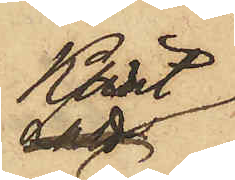Klint
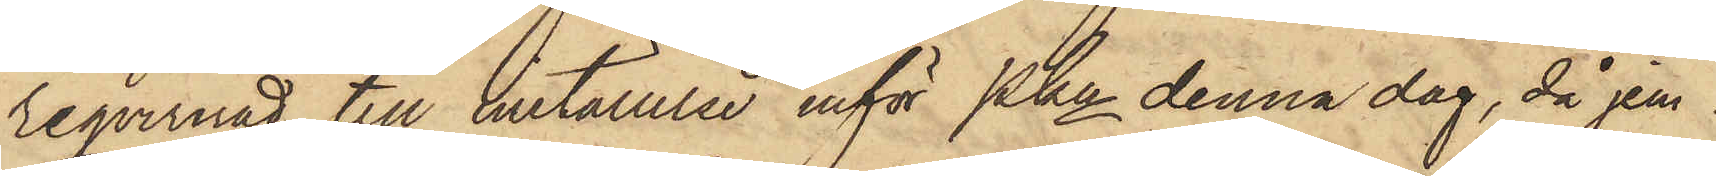reqvirerad till inställelse inför Pkn denna dag, då jem¬
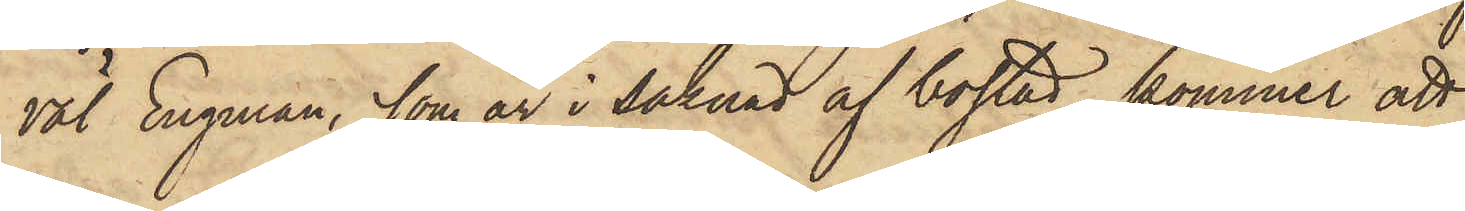väl Engman, som är i saknad af bostad, kommer att
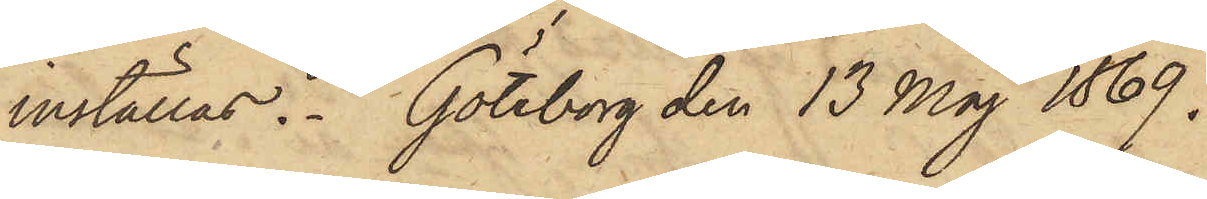inställas. Göteborg den 13 Maj 1869.
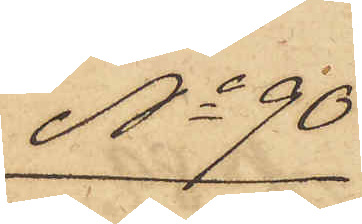No 90
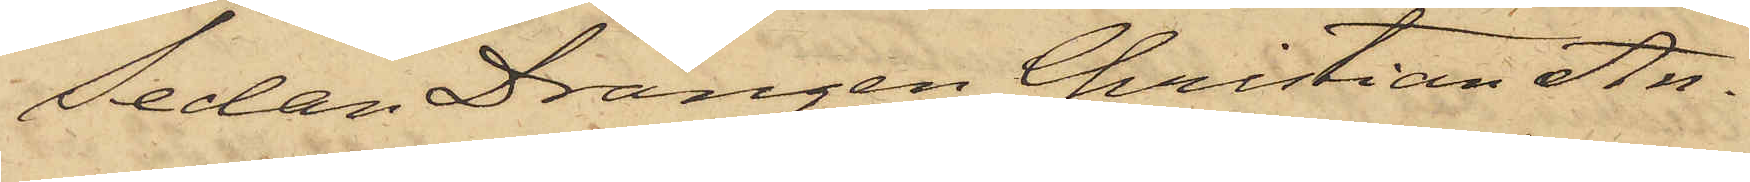Sedan Drängen Christian An¬
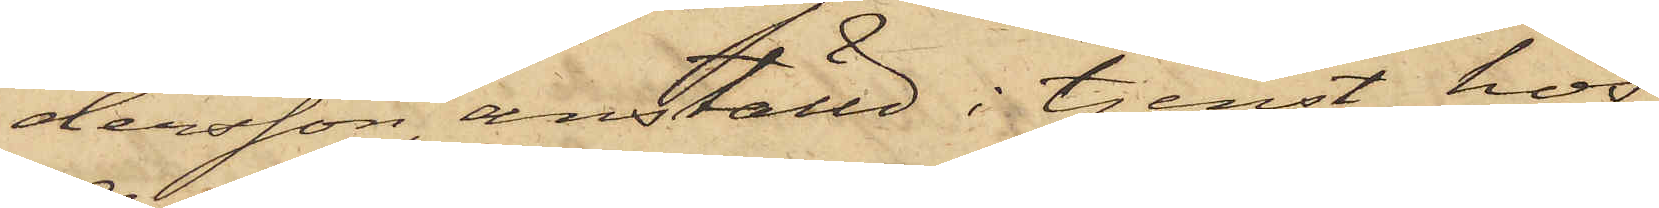dersson, anställd i tjenst hos
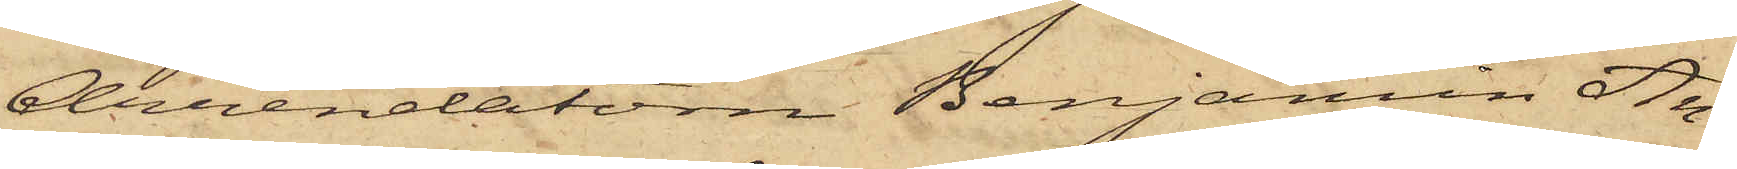Arrendatorn Benjamin An¬
